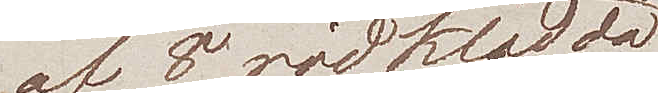af 8 rödklädda
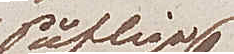Påfliga
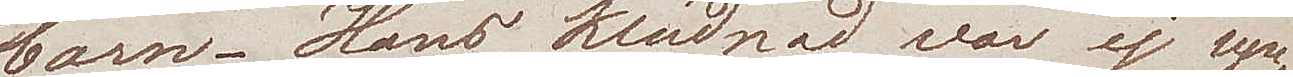barn. Hans klädnad var ej syn¬
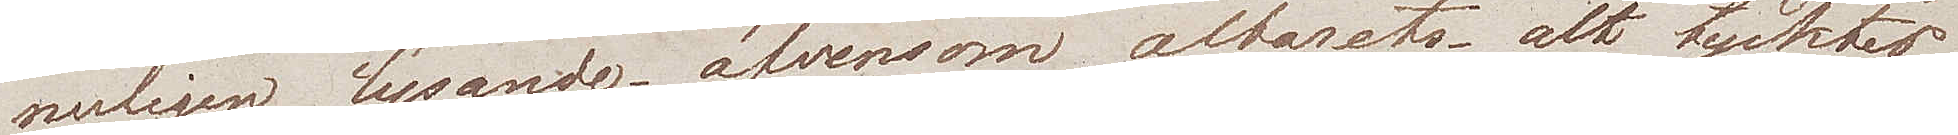nerligen lysande, äfvensom altarets, alt tycktes
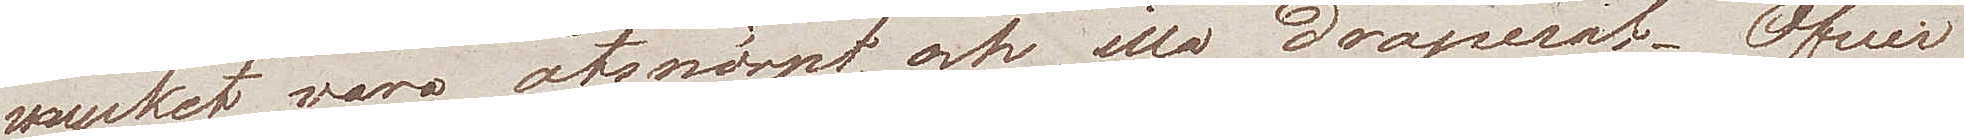mycket vara åtsnörpt och illa draperat. Öfwer
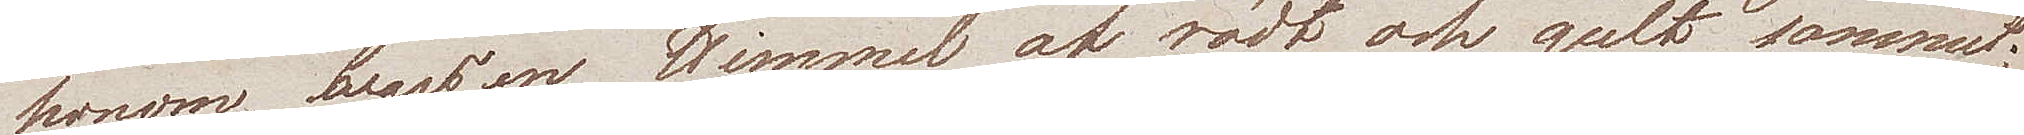honom bars en Himmel af rödt och gult sammet;
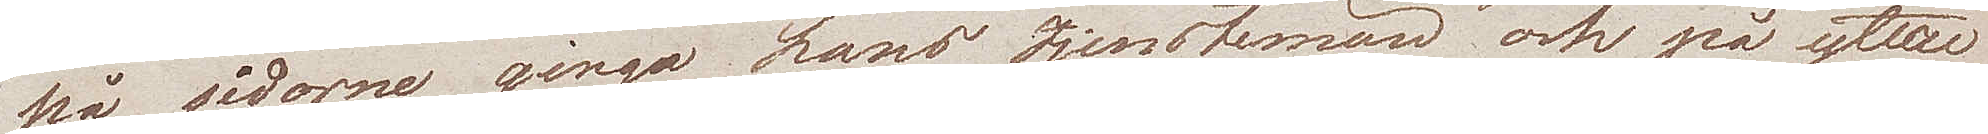på sidorna  gingo hans tjenstemän och på ytter
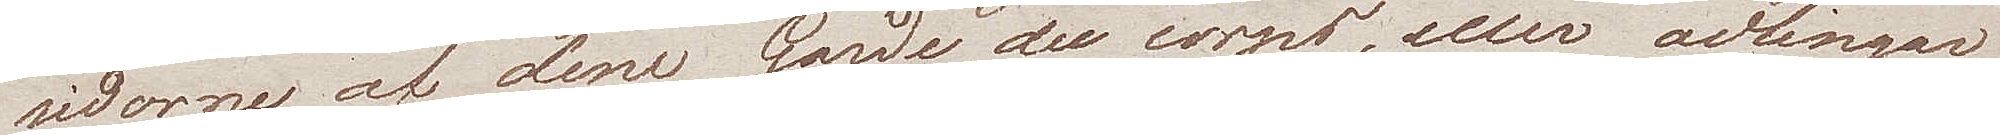sidorne af dem Garde du corps, eller ädlingar
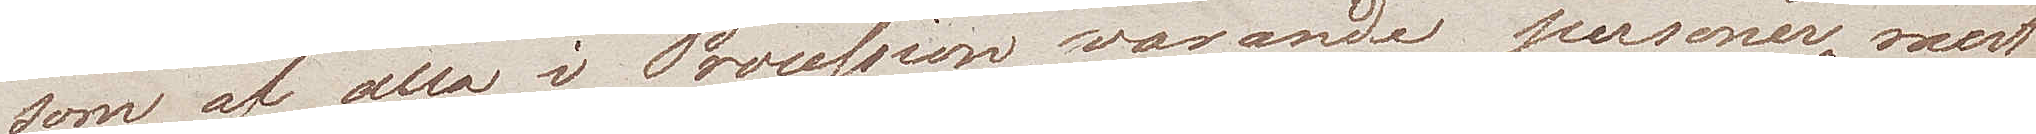som af alla i Procession varande personer, mest
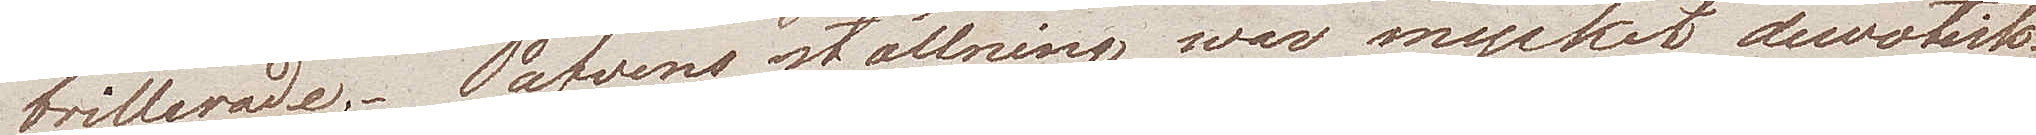brillerade.- Påfvens ställning war mycket dewotisk.
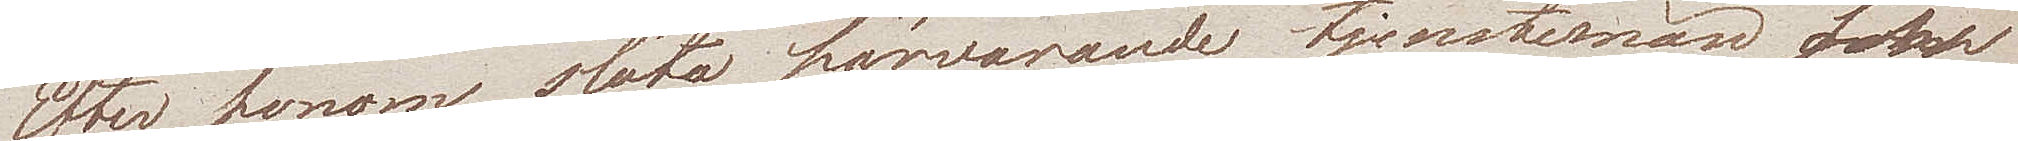Efter honom slöto härvarande tjenstemän och
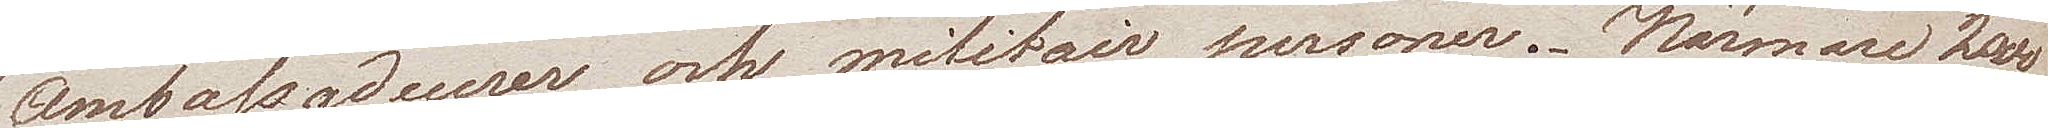ambassadeurer och miltair personer. Närmare 2000
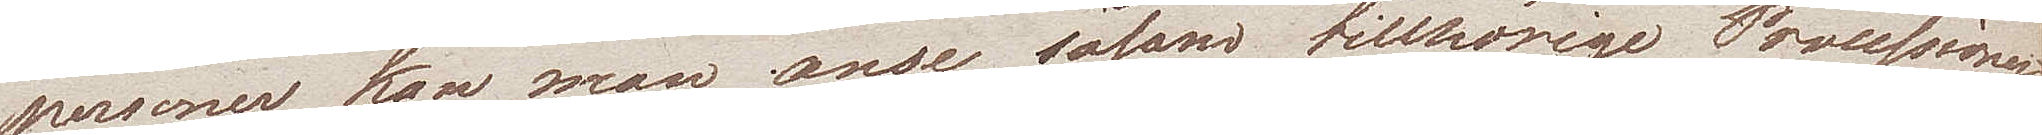personer kan man anse såsom tillhörige Processionen.
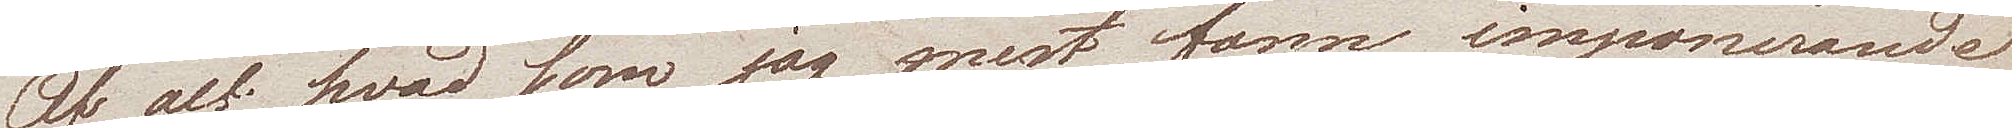Af alt hvad som jag mest fann imponerande
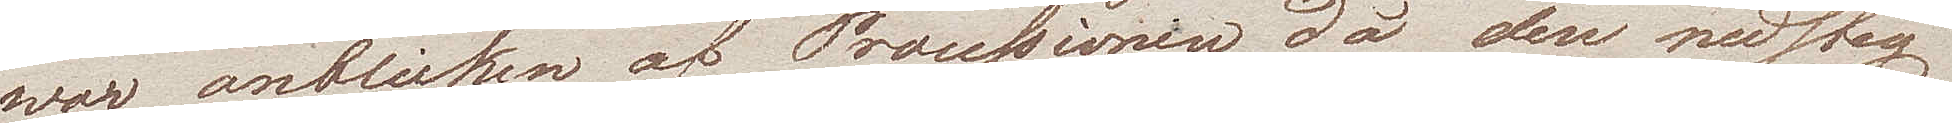war anblicken af Processionen då den nedsteg
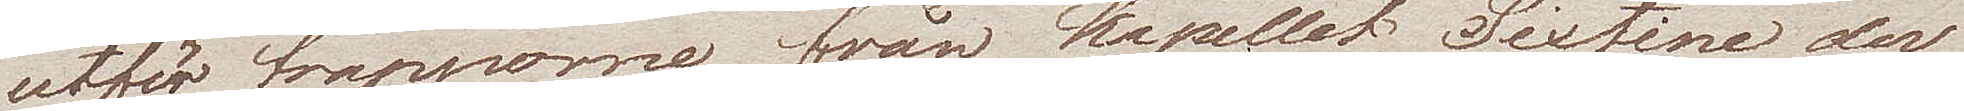utför trapporne från Kapellet Sixtine der
